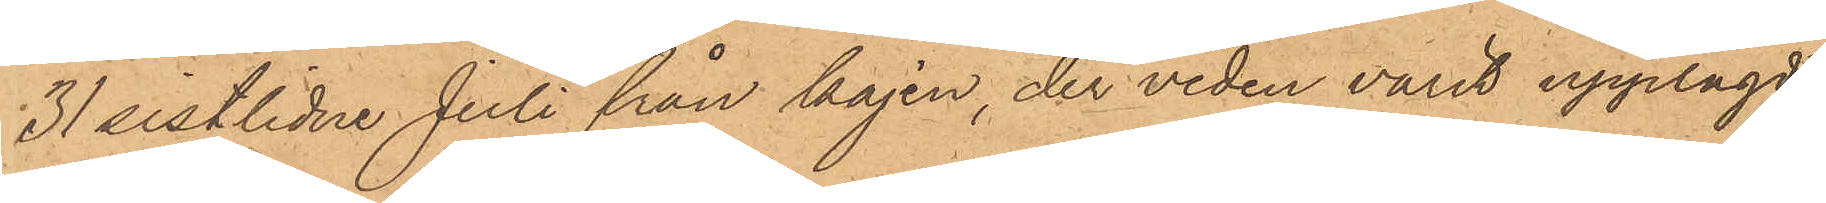31 sistlidne Juli från kajen, der veden varit upplagd
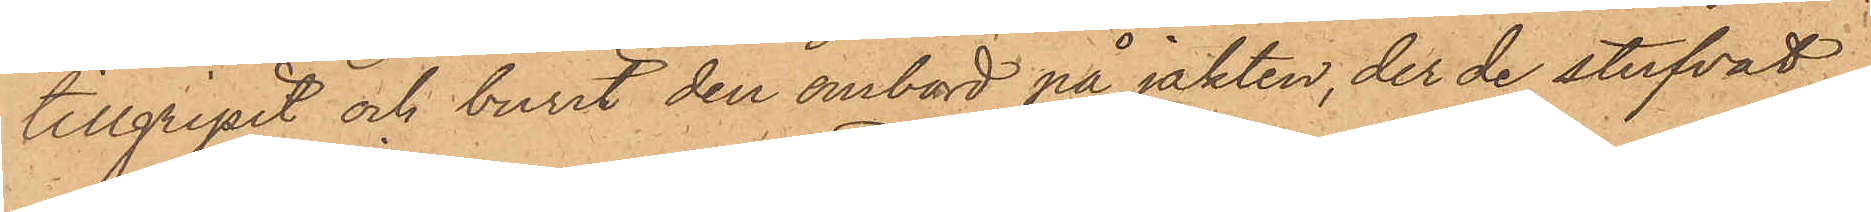tillgripit och burit den ombord på jakten, der de stufvat
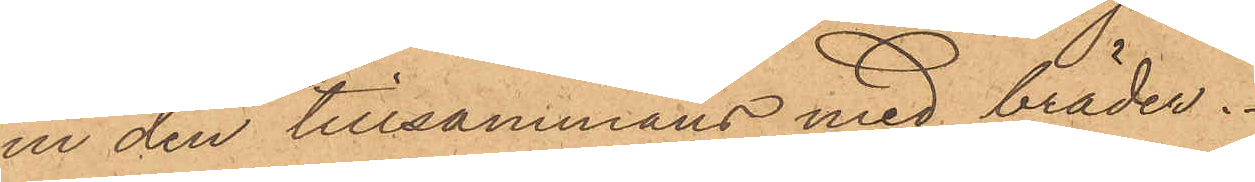in den tillsammans med bräder.
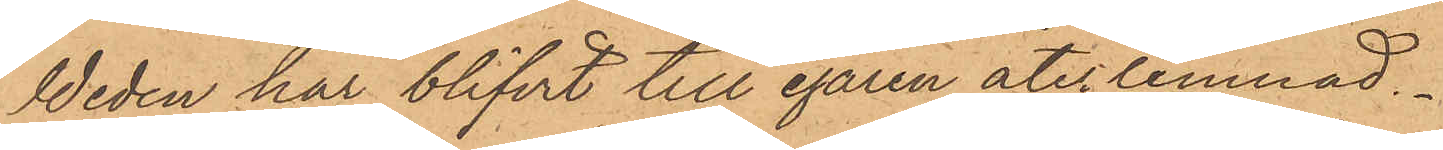Weden har blifvit till egaren återlemnad.
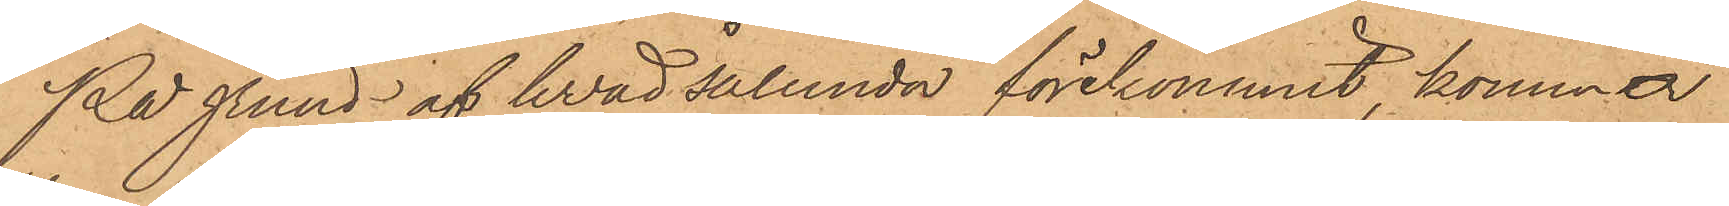På grund af hvad sålunda förekommit kommer
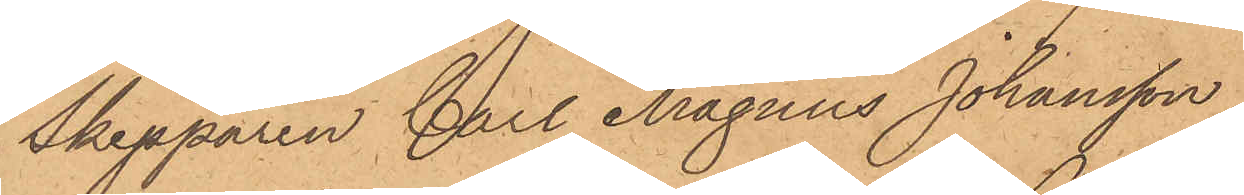Skepparen Carl Magnus Johansson
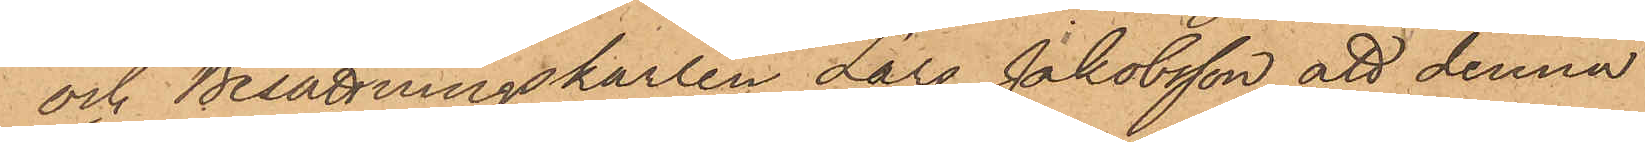och Besättningskarlen Lars Jakobsson att denna
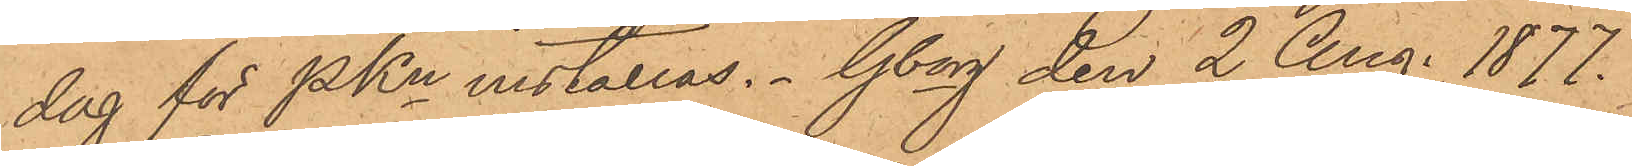dag för PKn inställas. Gborg den 2 Aug. 1877.
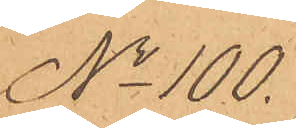No 100.
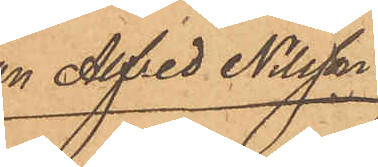Johan Alfred Nilsson
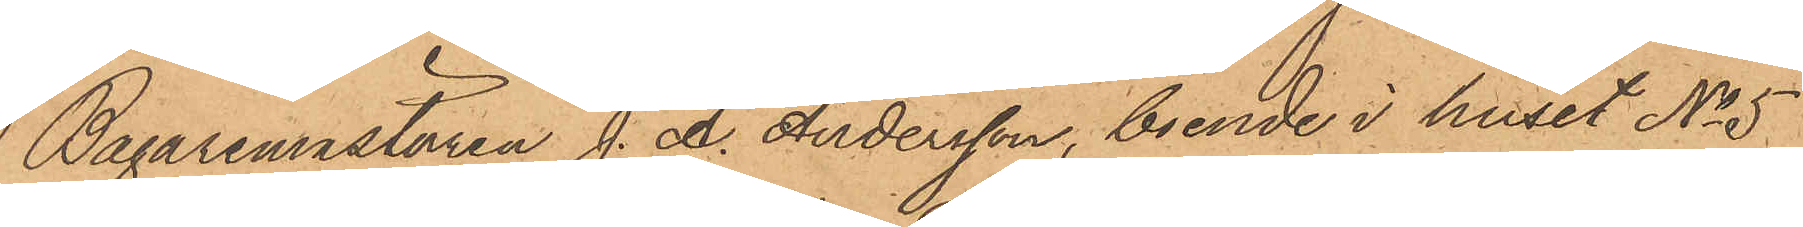Bagaremästaren J. A. Andersson, boende i huset No 5
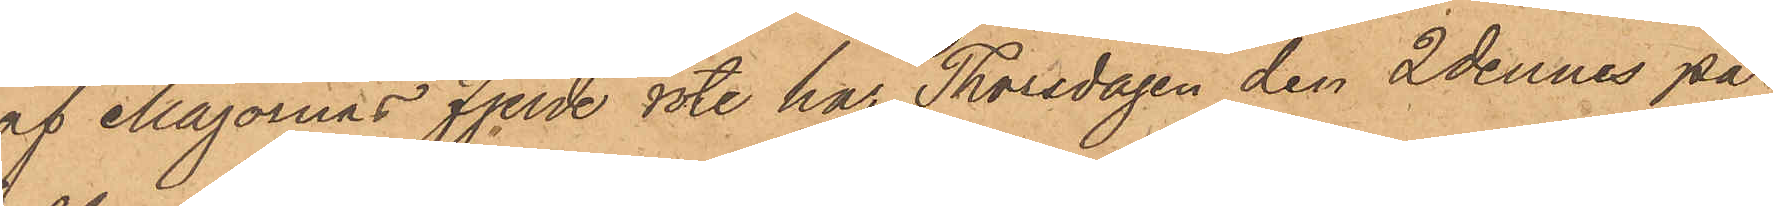af Majornas fjerde rote har Thorsdagen den 2 dennes på
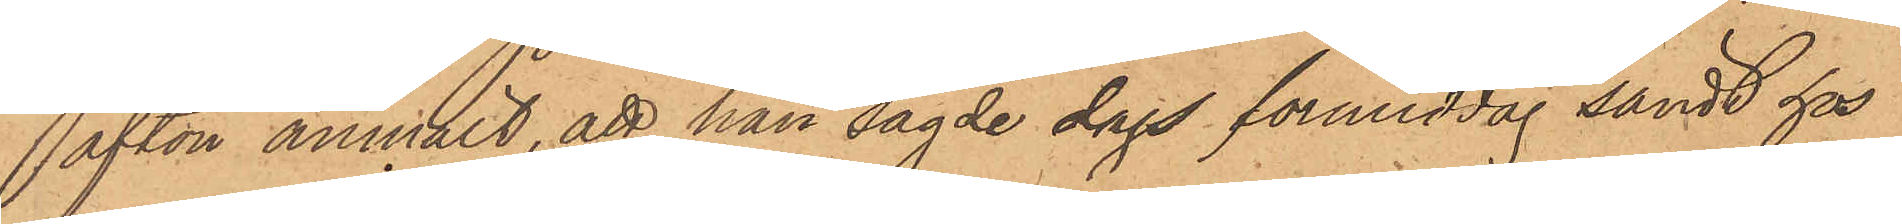afton anmält, att han sagde dags förmiddag sändt hos
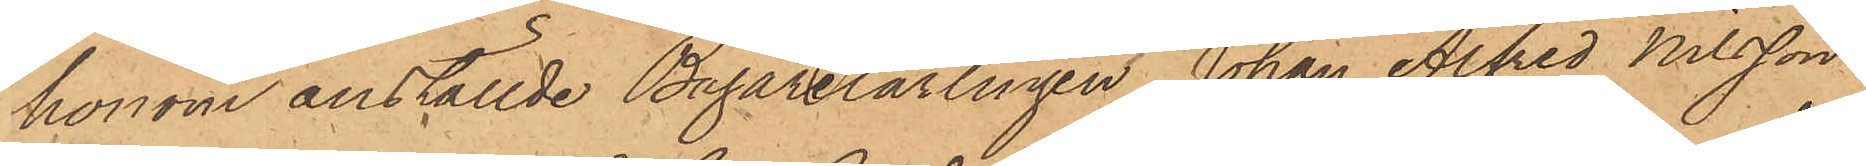honom anställde Bagarelärlingen Johan Alfred Nilsson
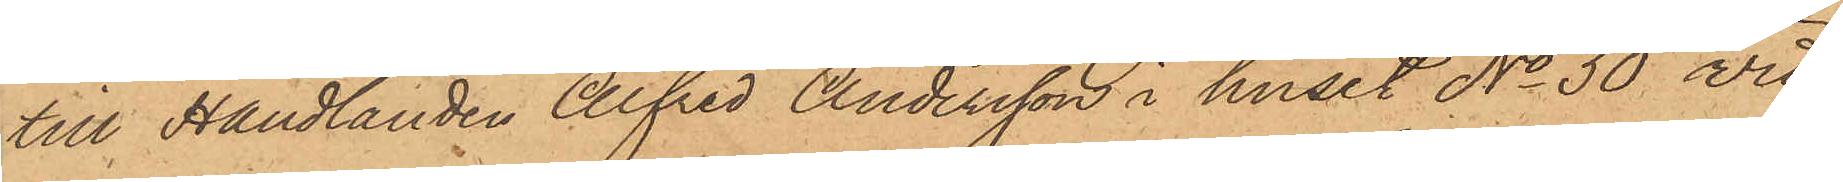till Handlanden Alfred Andersson i huset No 30 vid
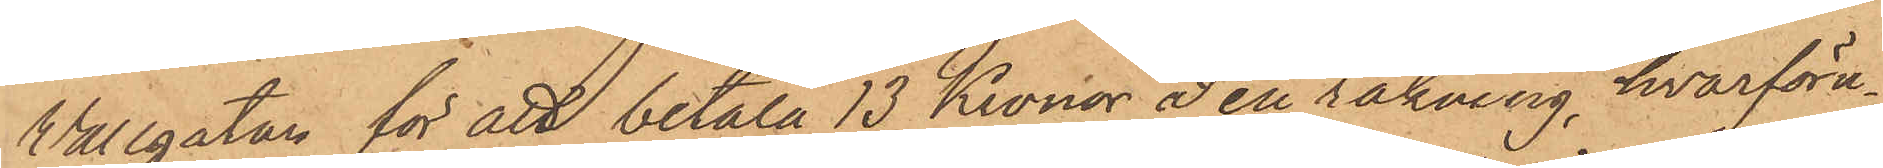Vallgatan för att betala 13 Kronor å en räkning, hvarföru¬
